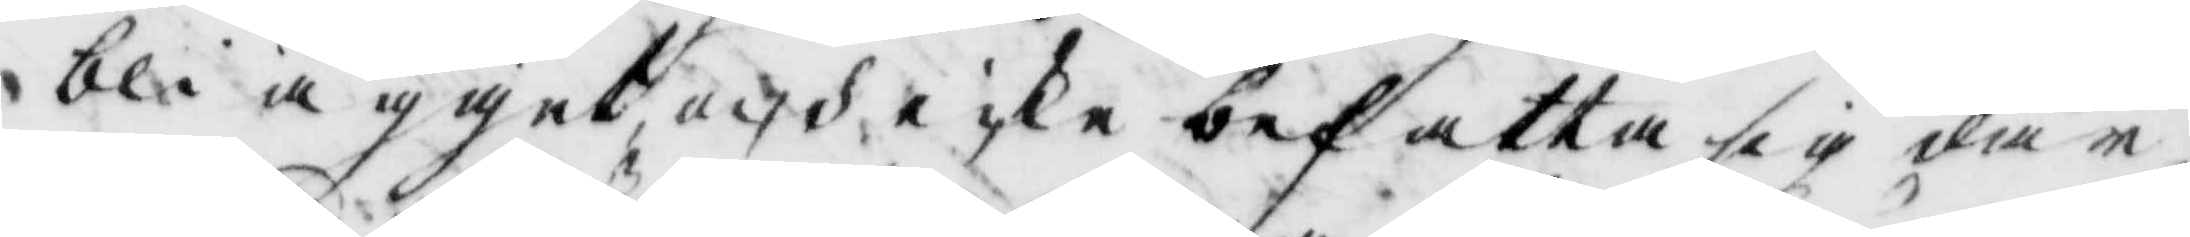bli ägget, och icke befatta sig där
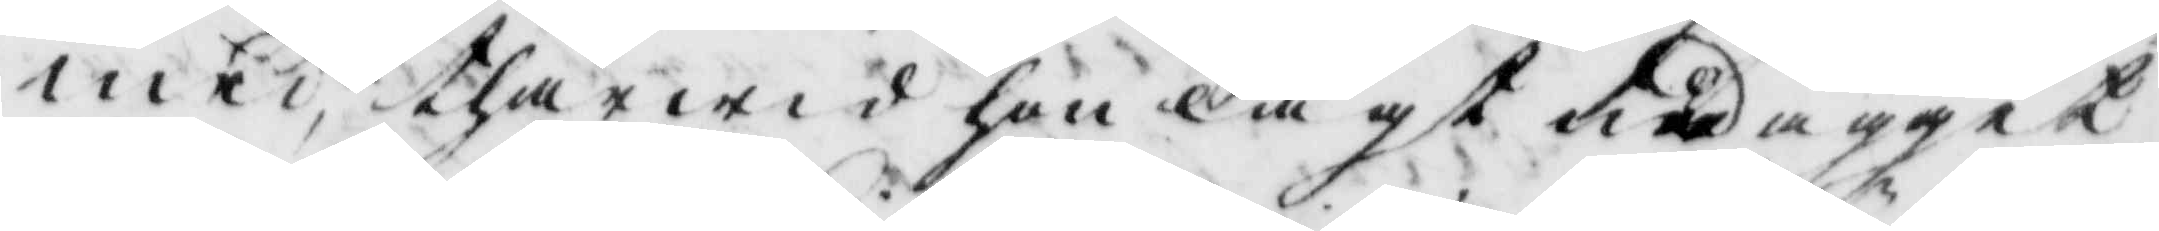med, thärwid hon lagt ned ägget
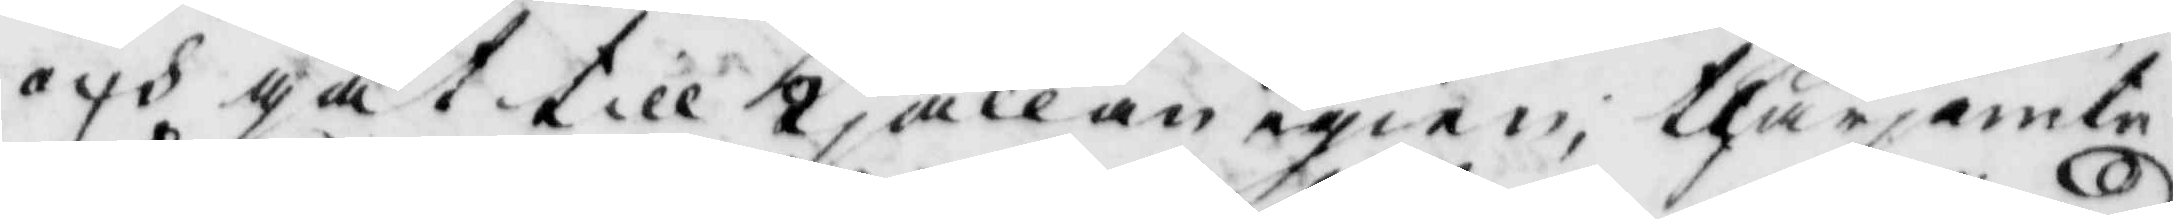och gåt till kjällan igien, therjämte
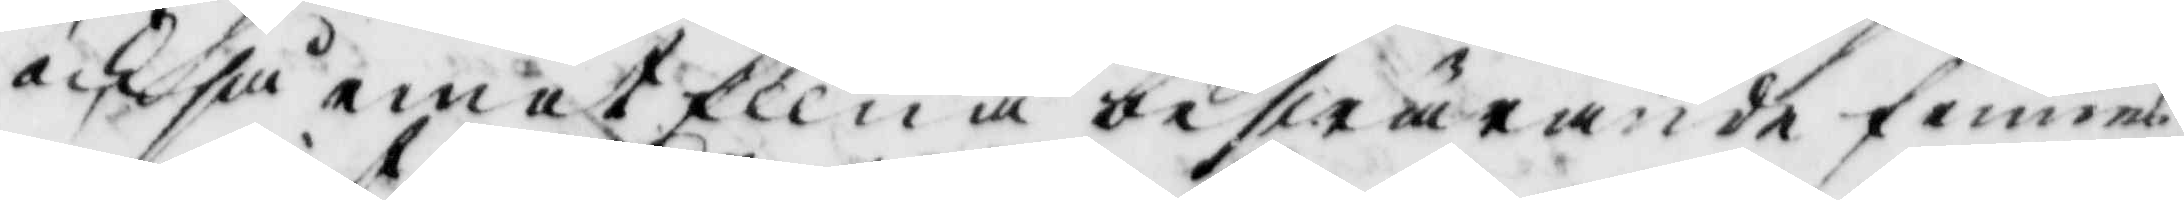och så emot Ellna beswärande finnes
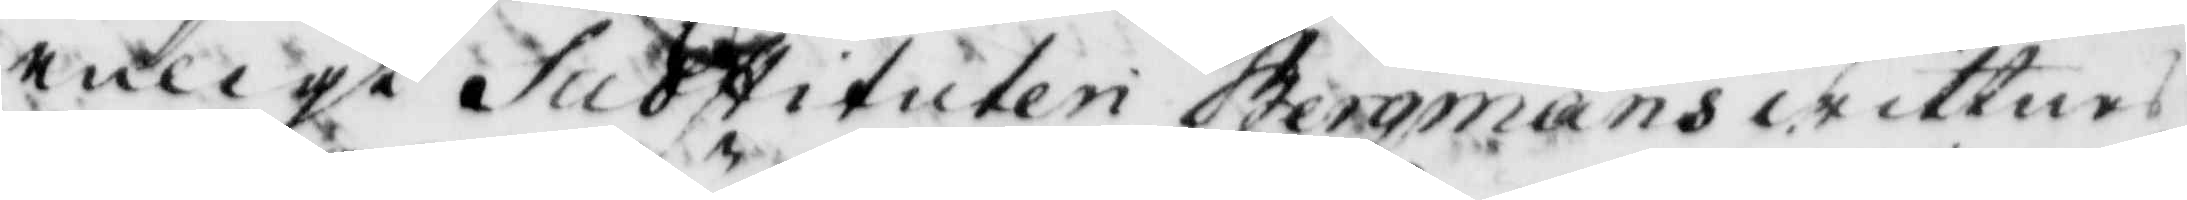enligt Substituten Bergmans wittnes¬
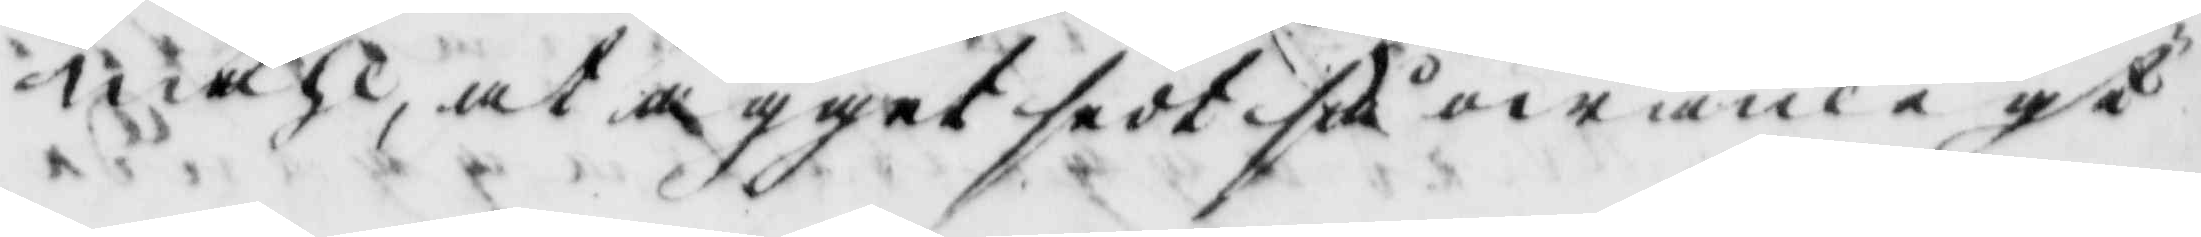måhl, at ägget sedt så owanligt
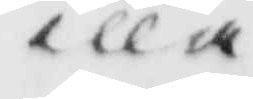illa
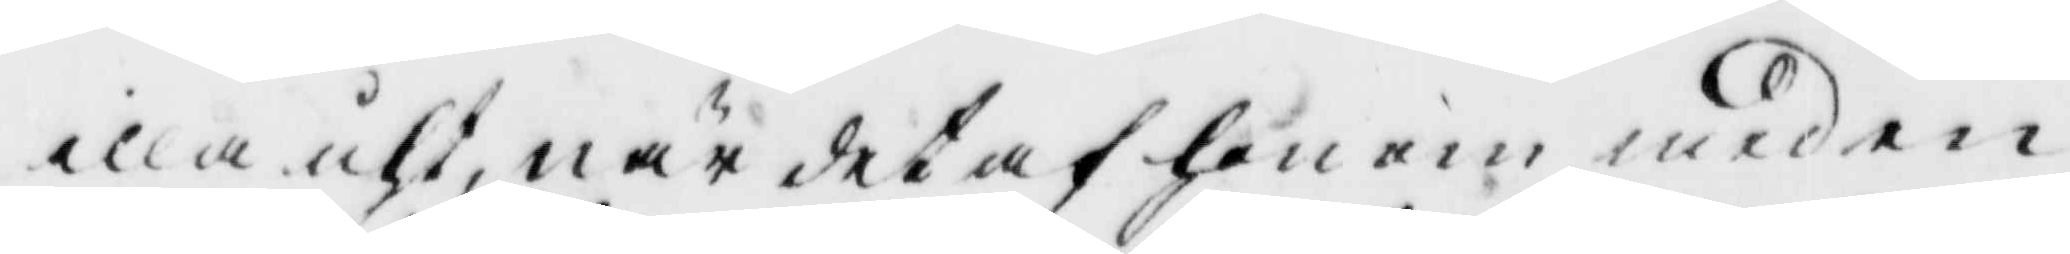illa uth, när det af honom med en
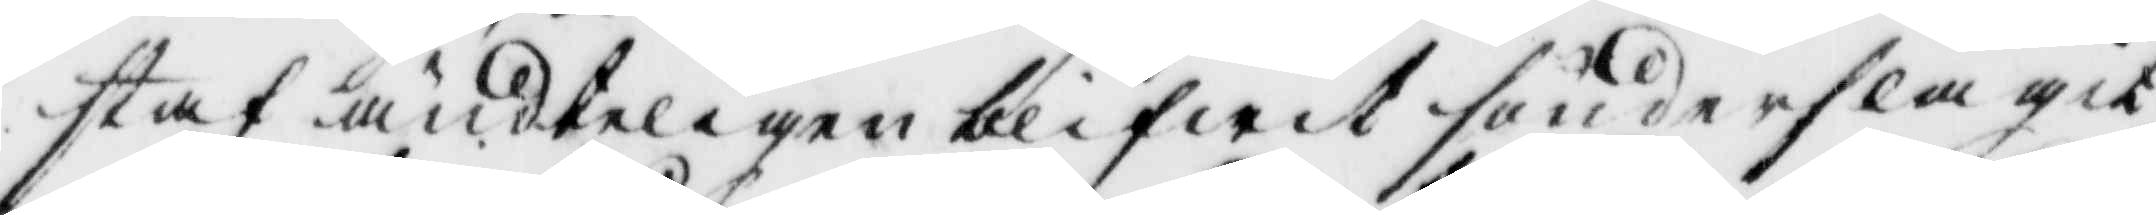staf ändteligen blifwit sönderslagit
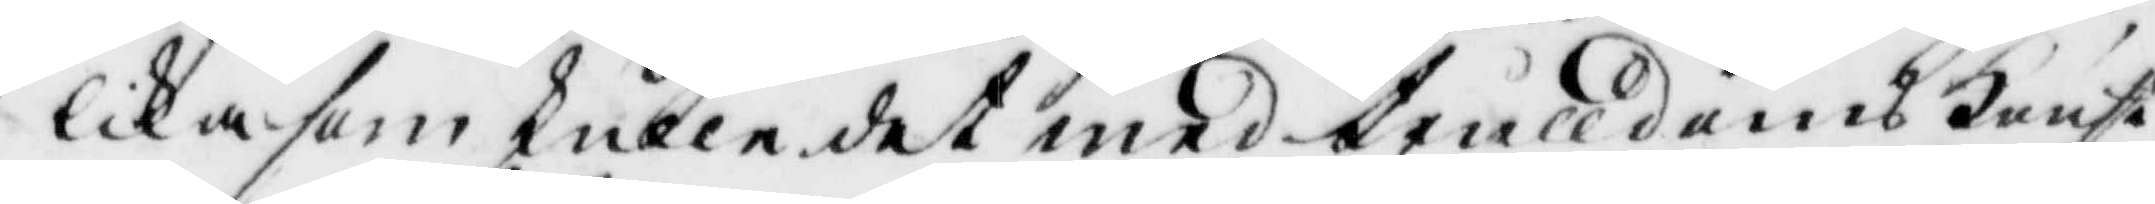likasom skulle det med trulldoms konst
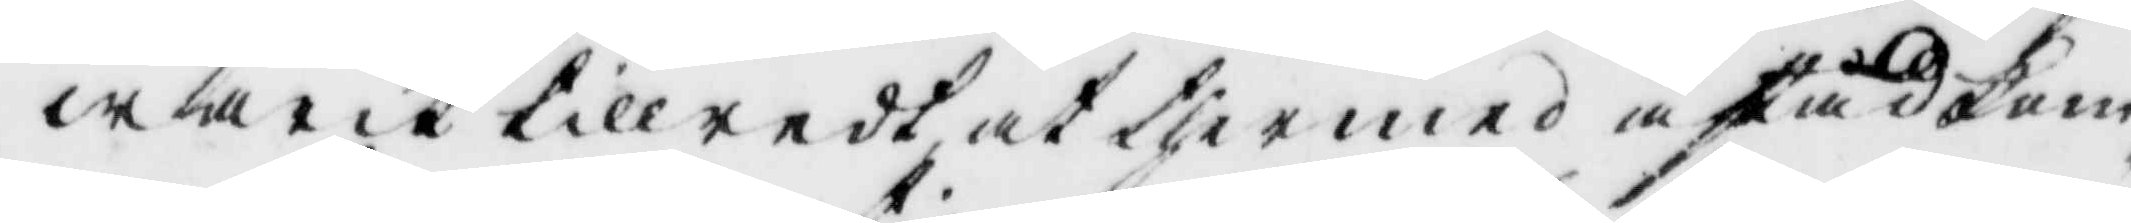warit tillredt at thermed åstadkom¬
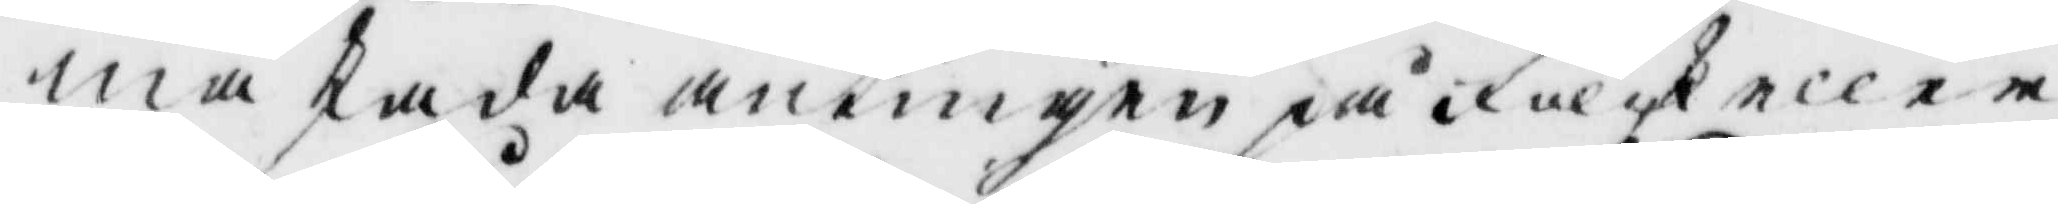ma skada antingen på folk eller
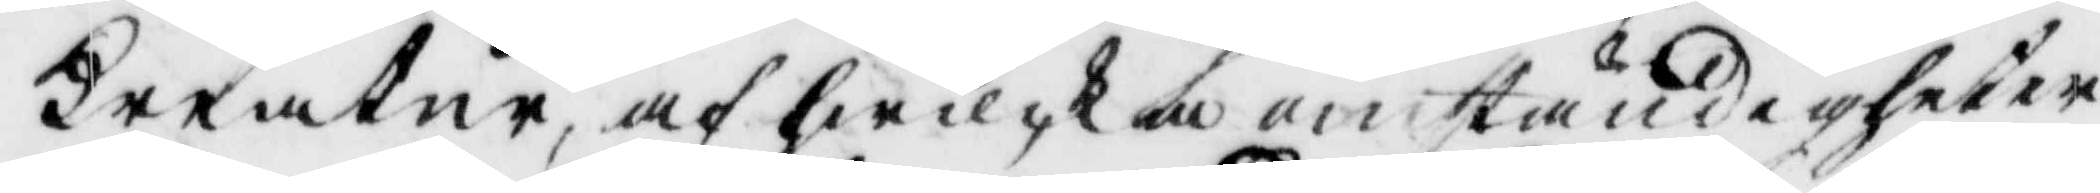kreatur, af hwilcka omständigheter
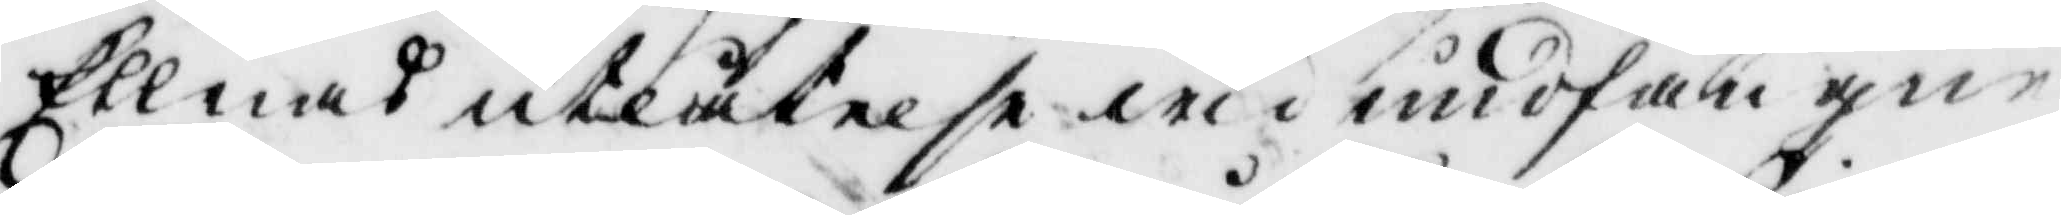Ellnas utlåtelse wid undfångne
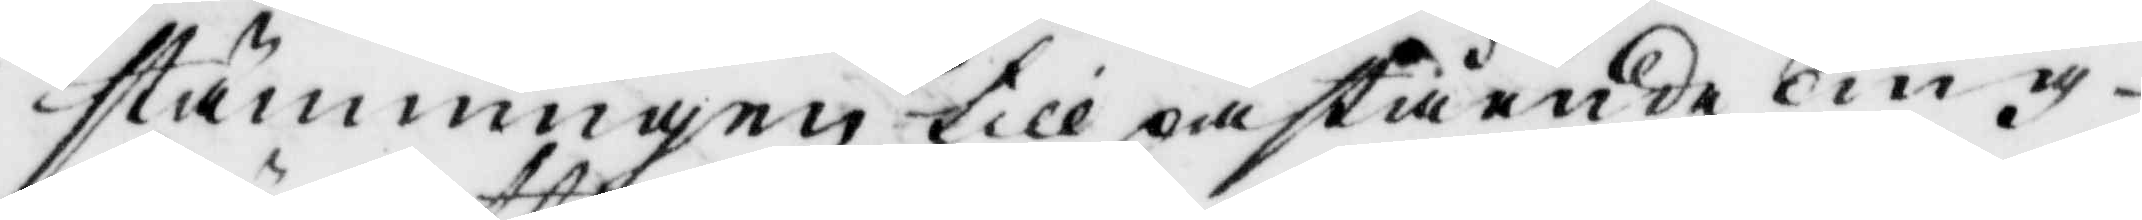stämningen till påstående Ting
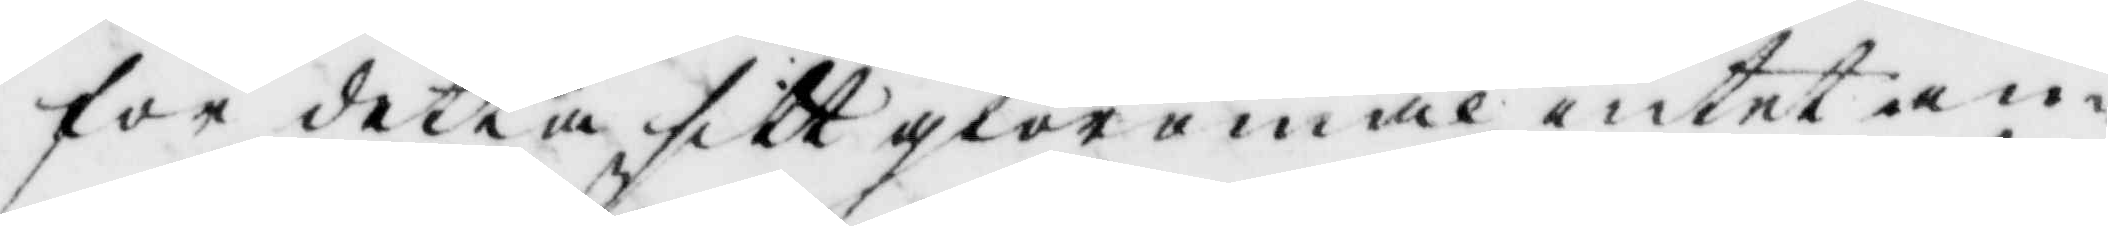för detta sitt giöremål intet an¬
